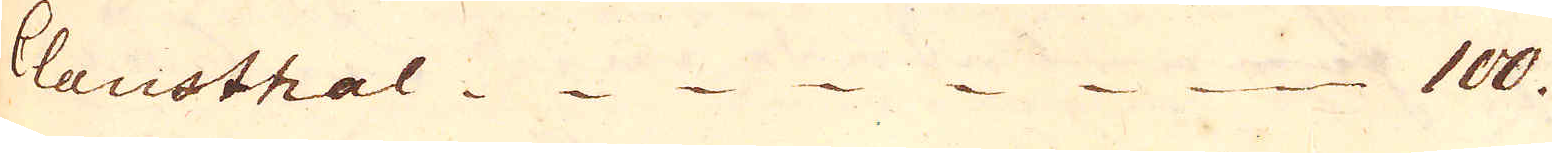Clausthal. 100.
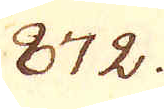872.
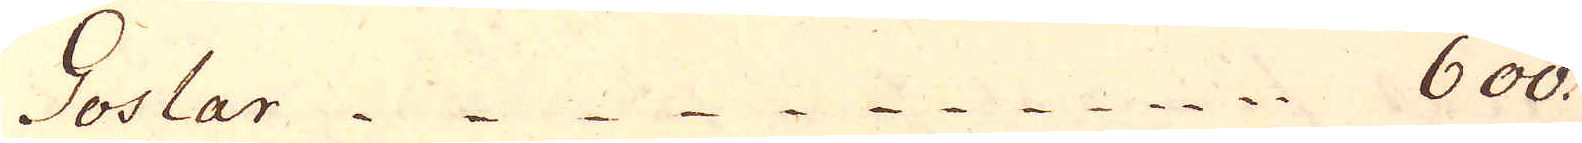Goslar 600.
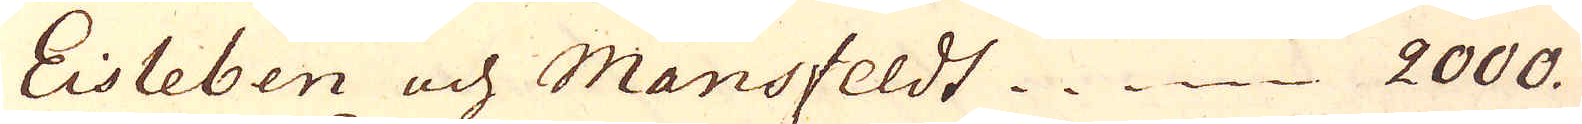Eisleben och Mansfeldt 2000.
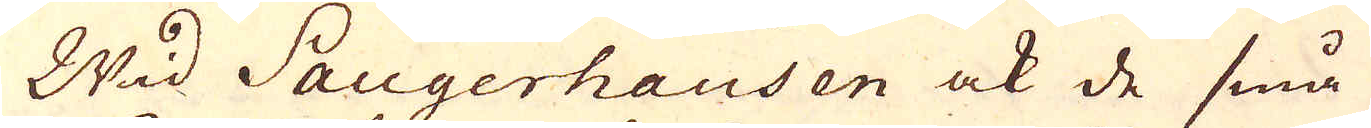Wid Saugerhausen ock de små
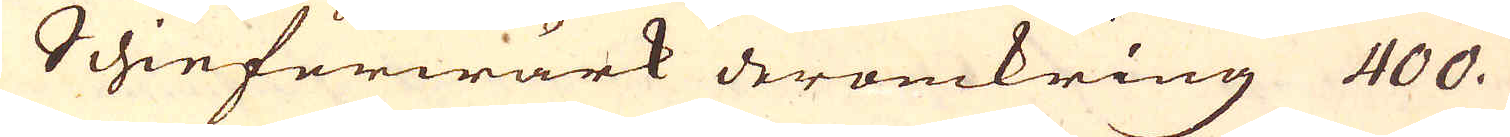Schieferwärk deromkring 400.
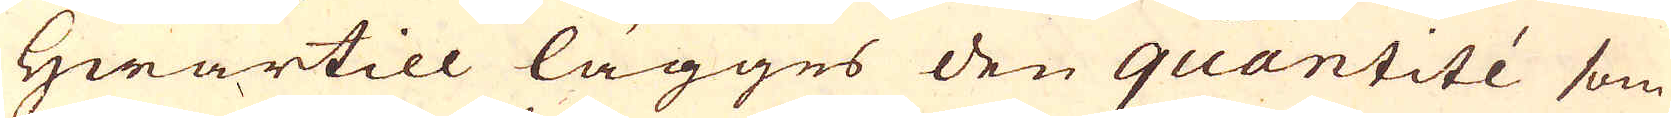Hwartill lägges den quantité som
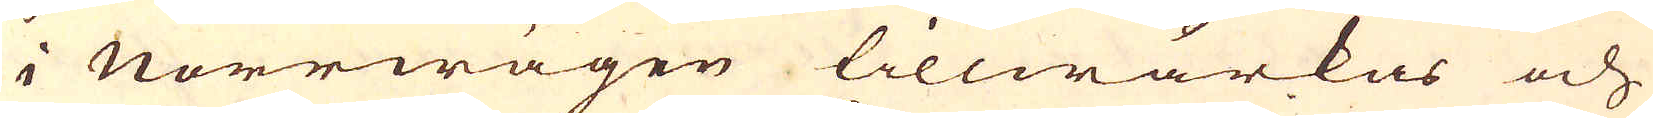i Norrwägen tillwärkas och
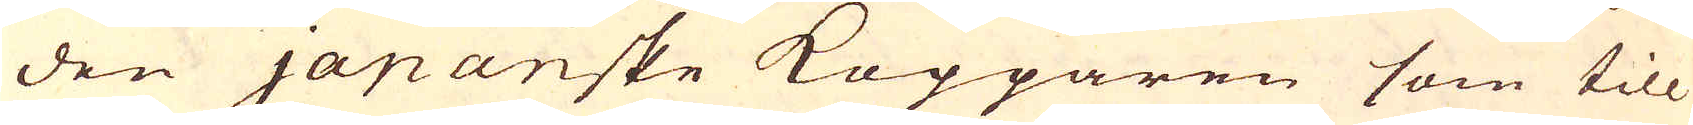den japanske Kopparen som till
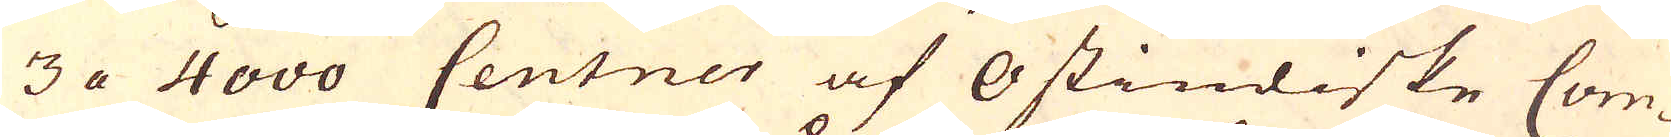3 a 4000 Centner af Ostindiske Com-
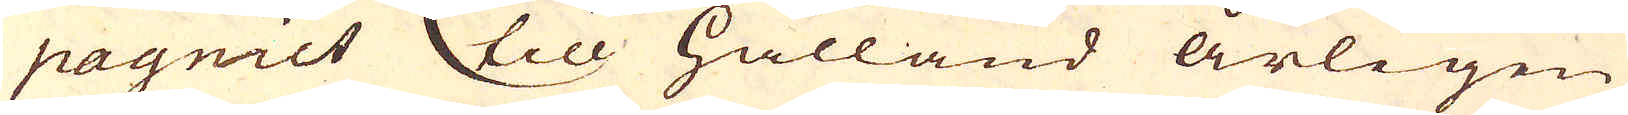pagniet til Hålland årligen
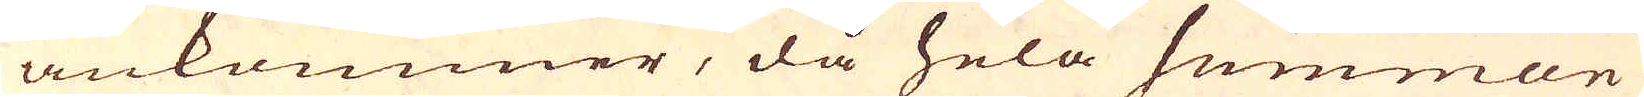ankommer, då hela summan
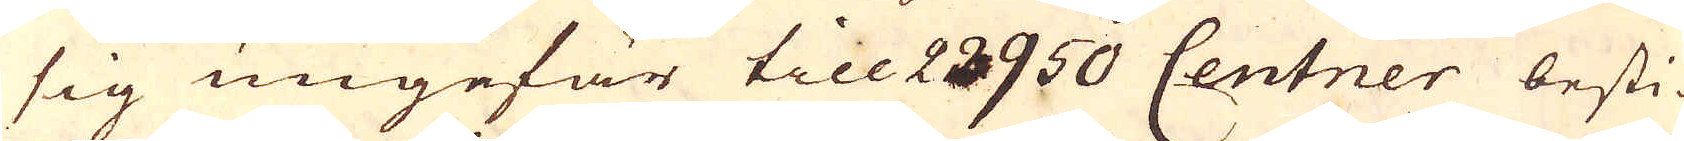sig ungefär till 22950 Centner besti-
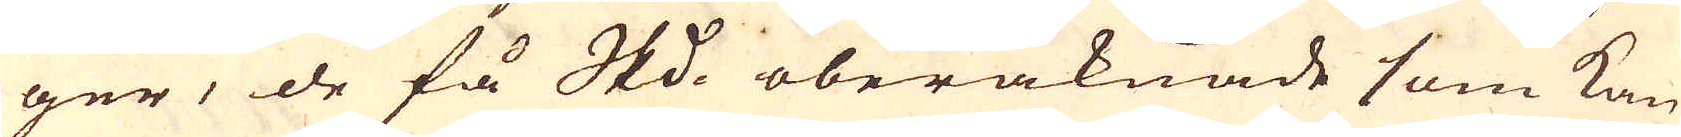ger, de få Skeppund oberäknade som kan
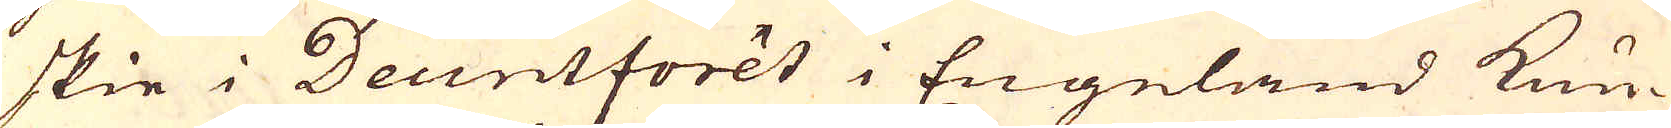skie i Deuntforêt i Engeland kun-
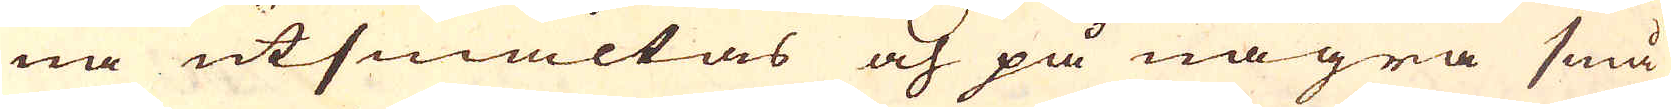na utsmältas och på några små
